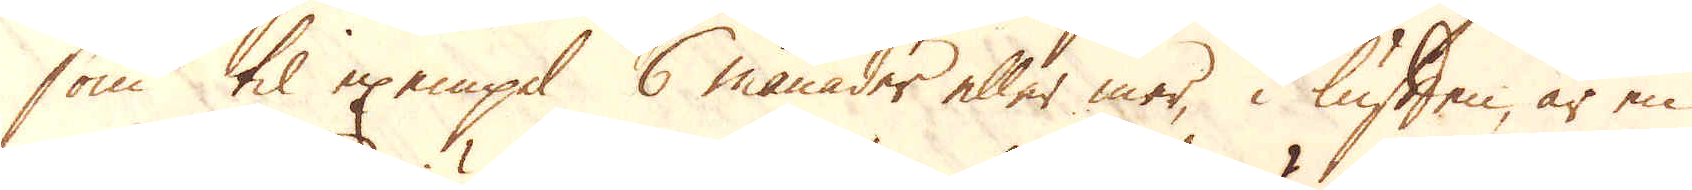som til exempel 6 månader eller mer, i luften, är en
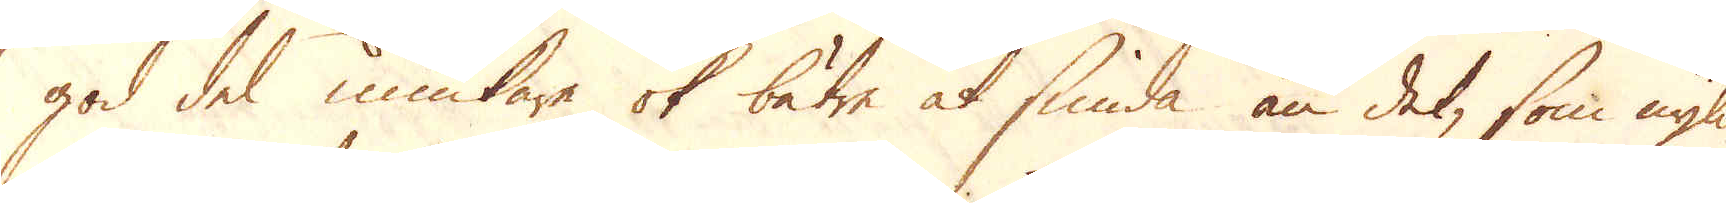god del miukare ok bätre at smida än det, som nyli-
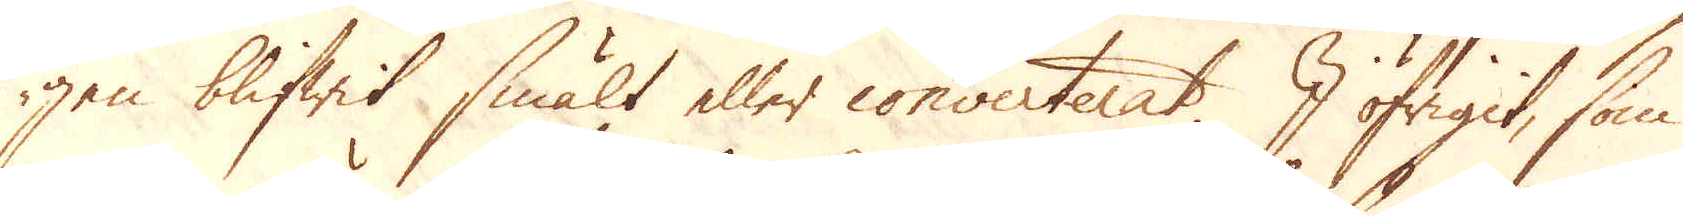gen blifwit smält eller converterat. I öfrigit, som
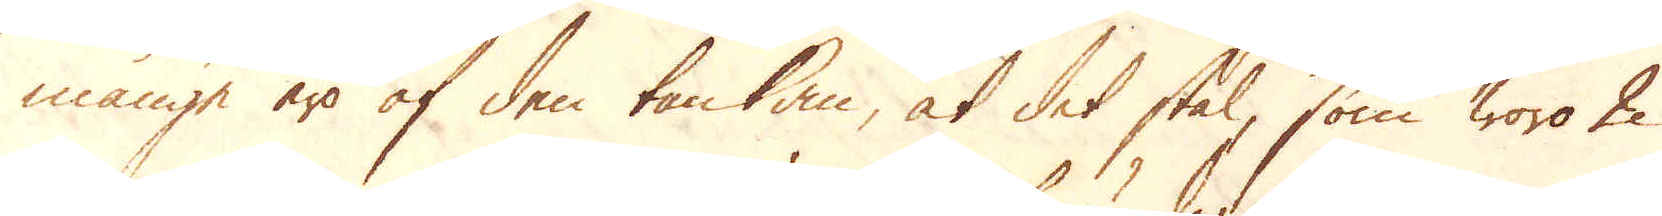månge äro af den tankan, at det stål, som woro 2
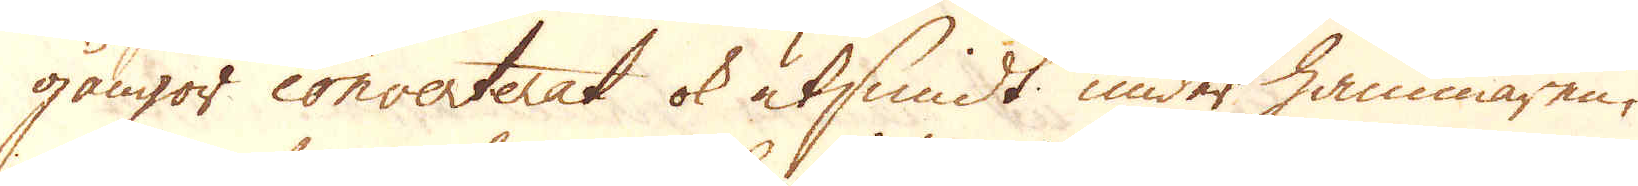gångor converterat ok utsmidt under hammaren,
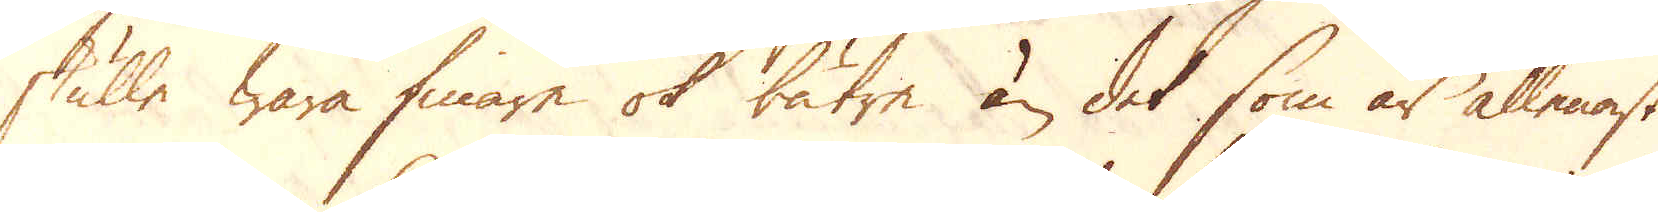skulle wara finare ok bätre än det som är allenast
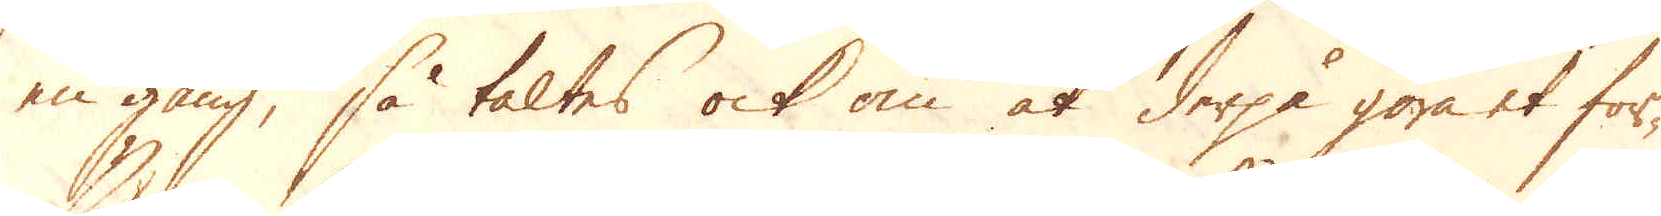en gång, så taltes ock om at derpå göra et för-
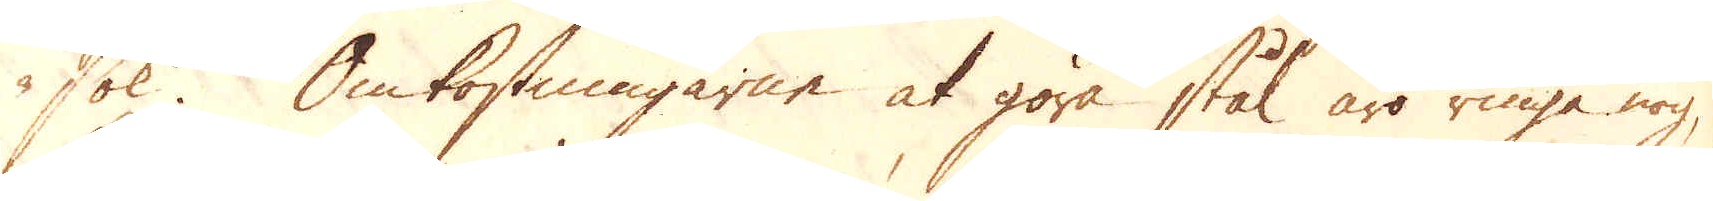sök. Omkostningarne at göra stål äro ringa nog,
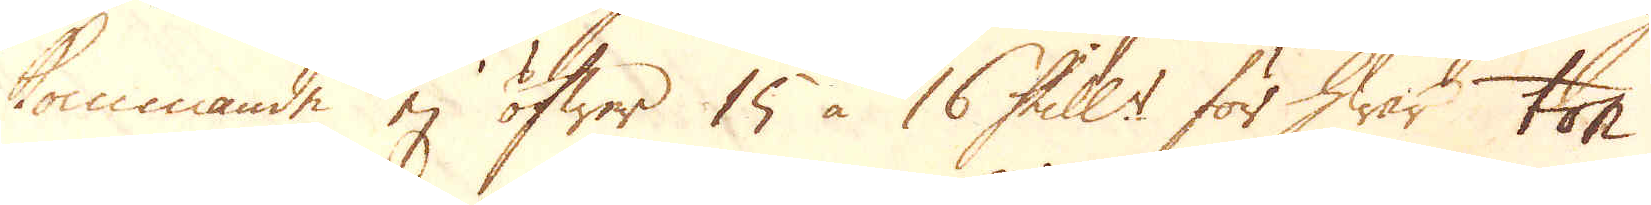kommande ej öfwer 15 à 16 Skill:r för hwar ton
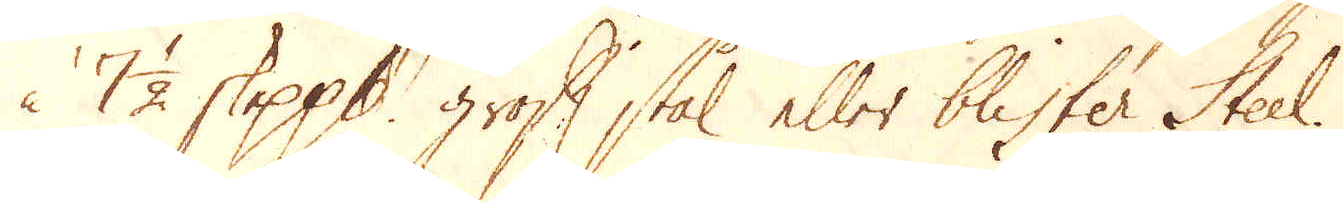à 7 1/2 skeppund groft stål eller blister Steel.
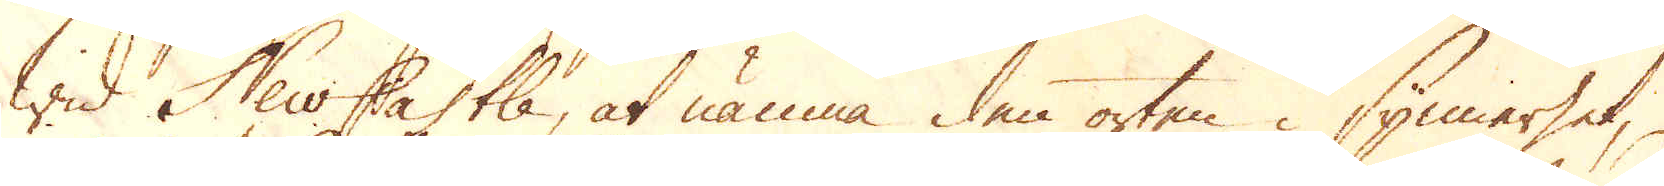Wid New Castle, at nämna den orten i synnerhet,
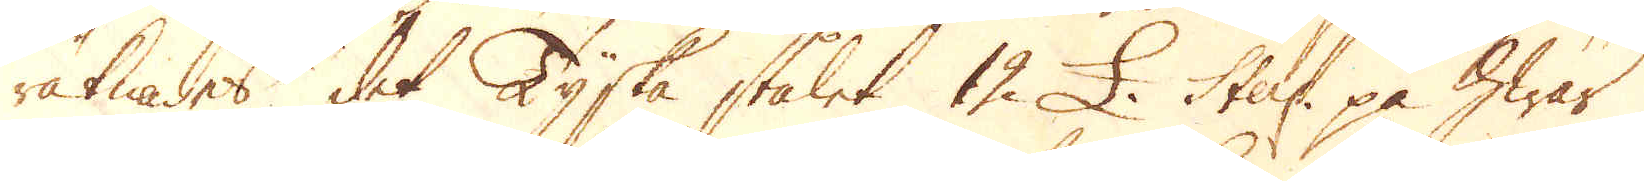räknades det Tyska stålet 12 £. Sterl: på hwar
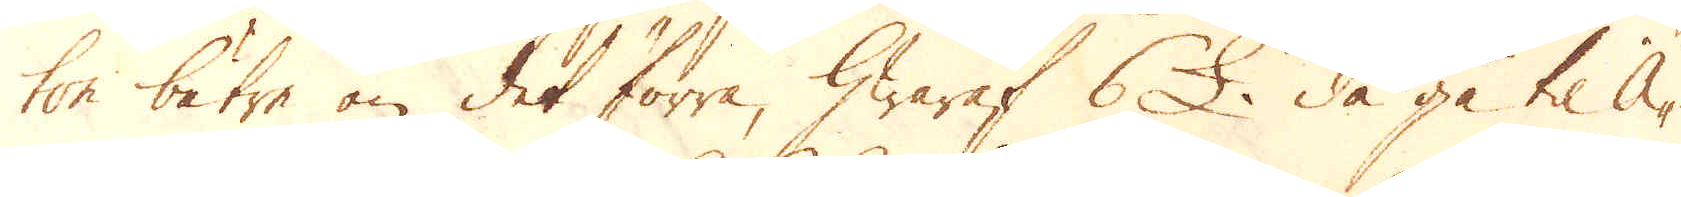ton bätre än det förra, hwaraf 6 £, då gå til Ä-
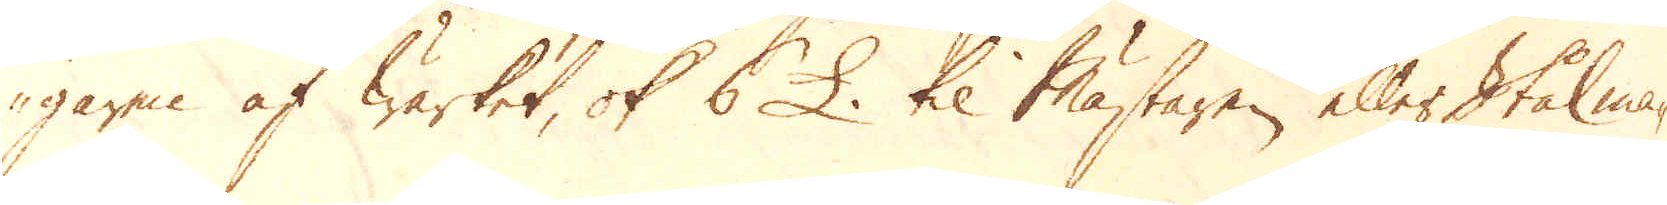garen af Wärket, ok 6 £ til Mästaren eller Stålma-
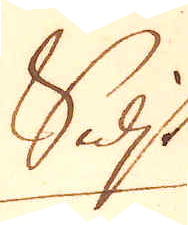Sidst
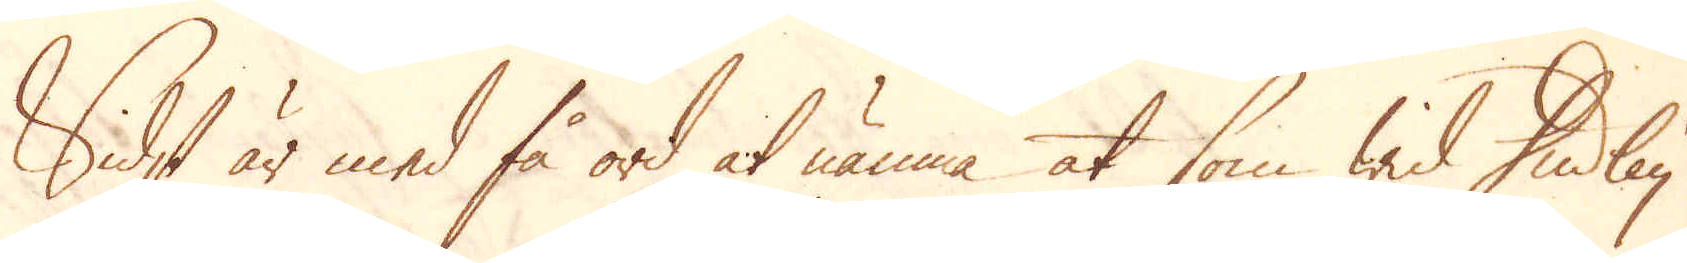Sidst är med få ord at nämna at som wid Dudley
